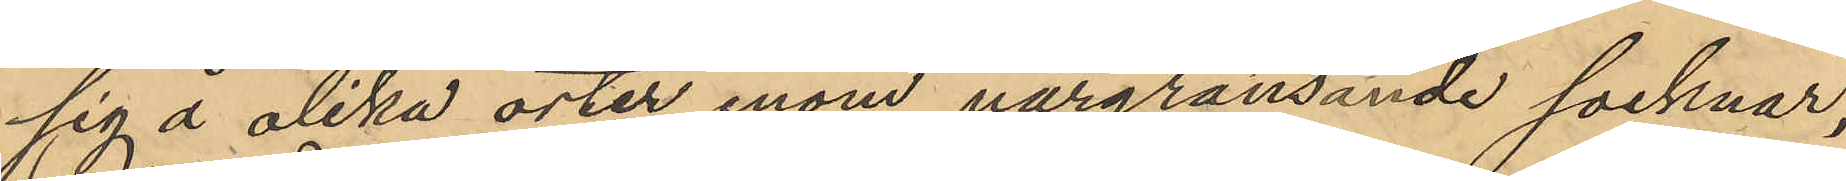sig å olika orter inom närgränsande socknar,
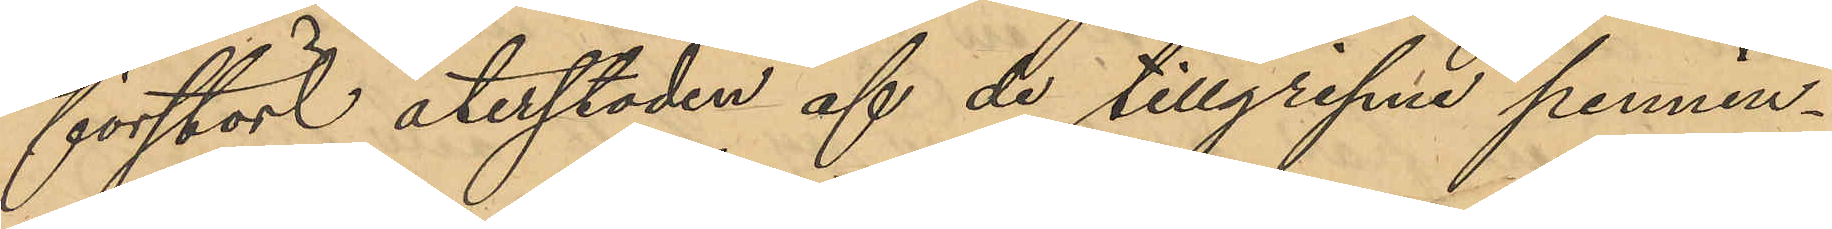förstört återstoden af de tillgripne pennin¬
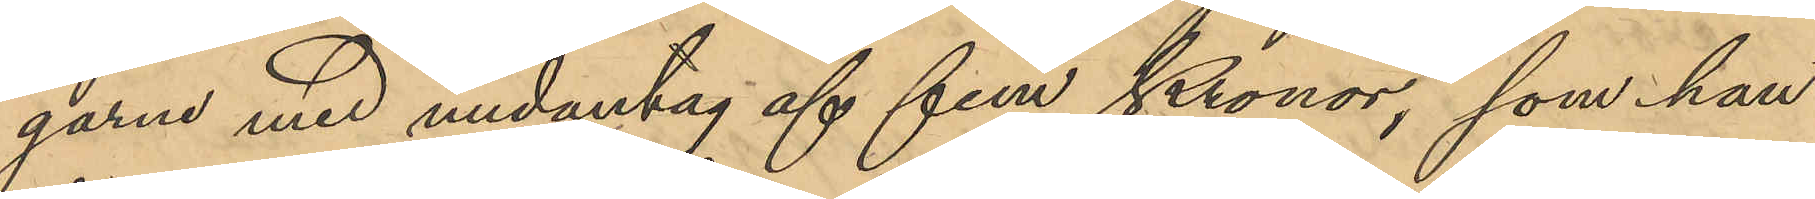garne med undantag af fem Kronor, som han
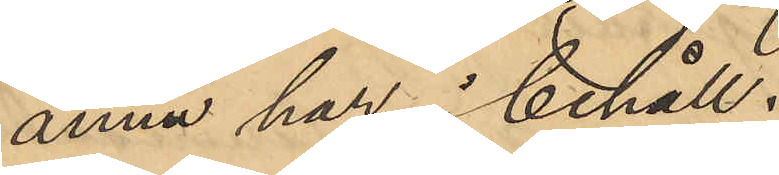ännu har i behåll.
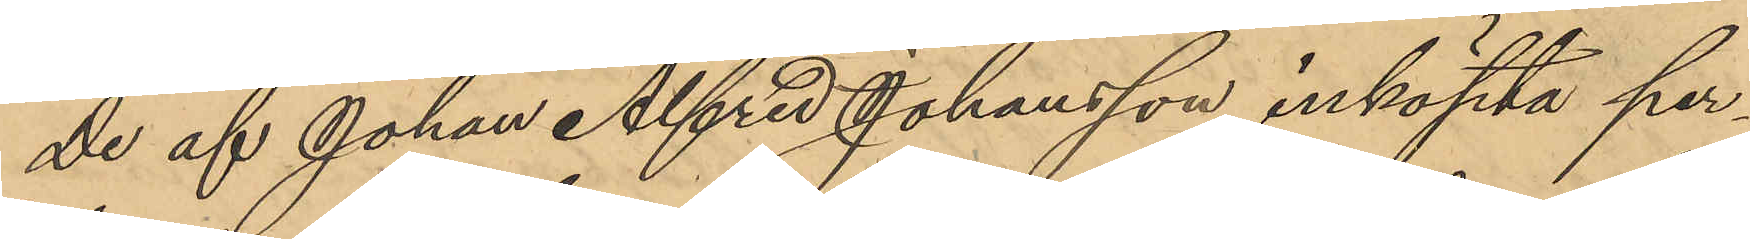De af Johan Alfred Johansson inköpta per¬
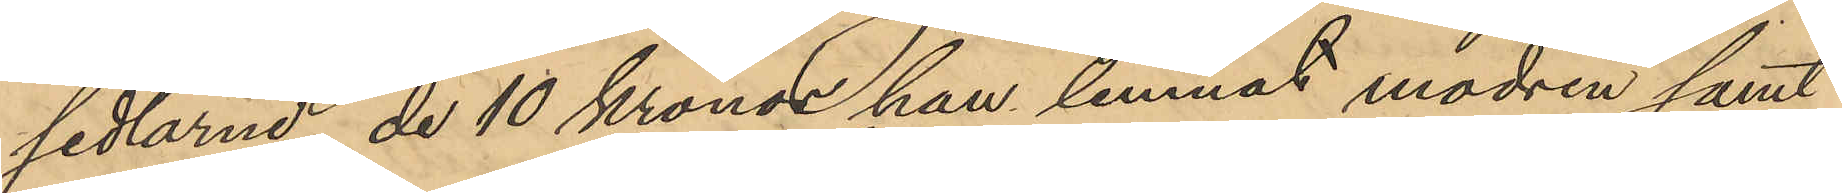sedlarne, de 10 Kronor han lemnat modren samt
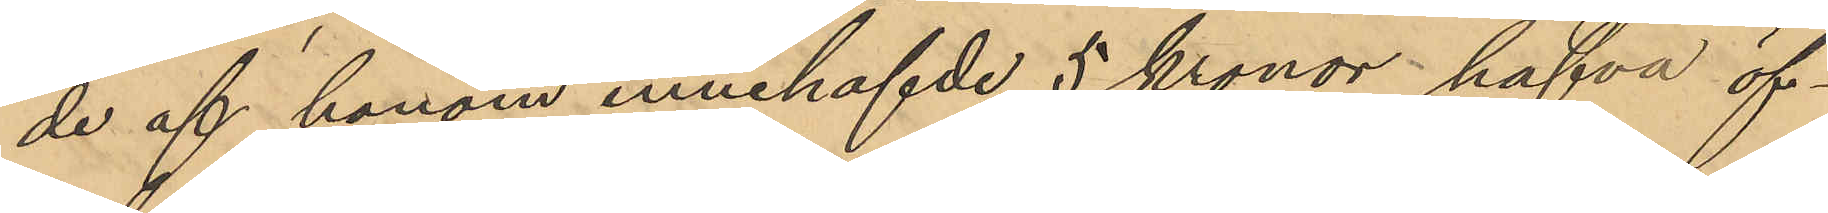de af honom innehafvde 5 kronor hafva öf¬
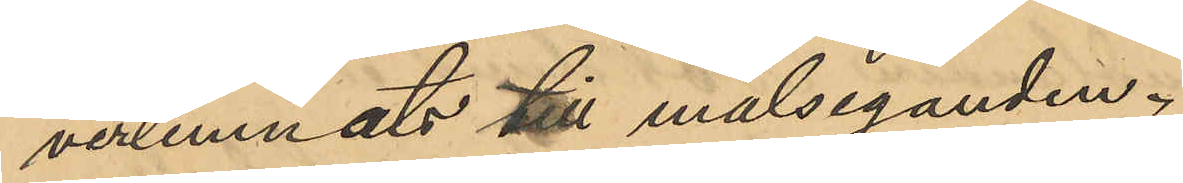verlemnats till målseganden.
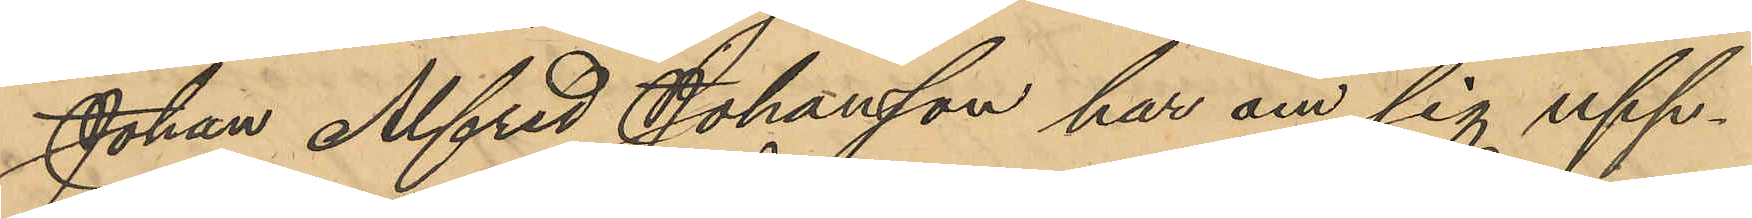Johan Alfred Johansson har om sig upp¬
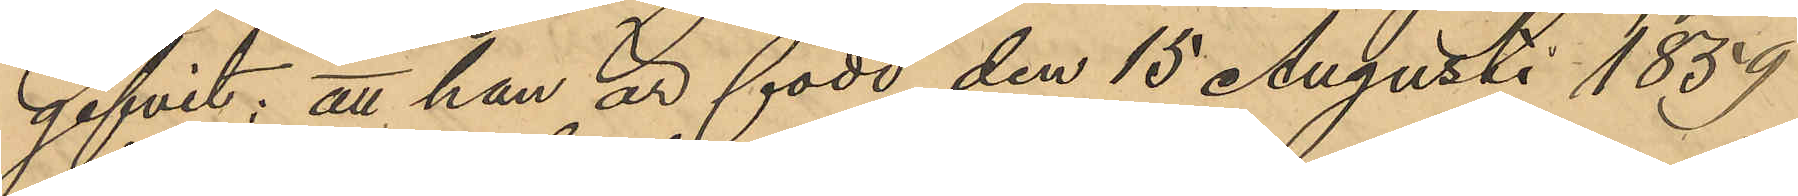gifvit: att han är född den 15 Augusti 1859
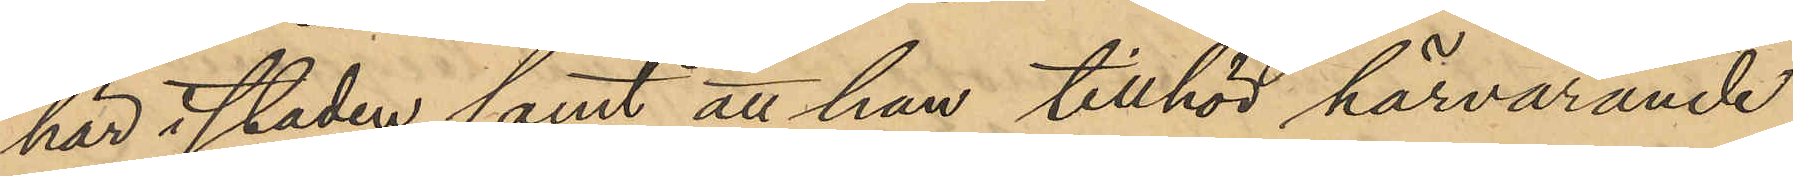här i staden samt att han tillhör härvarande
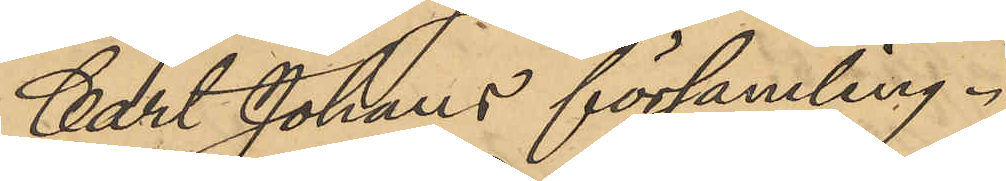Carl Johans församling.
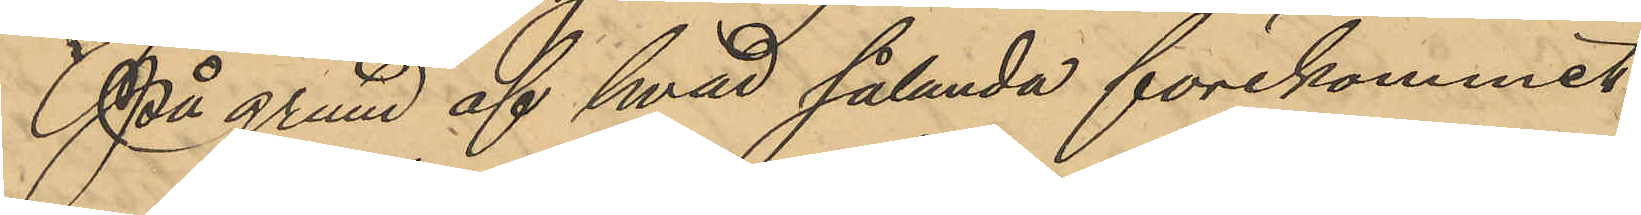På grund af hvad sålunda förekommit
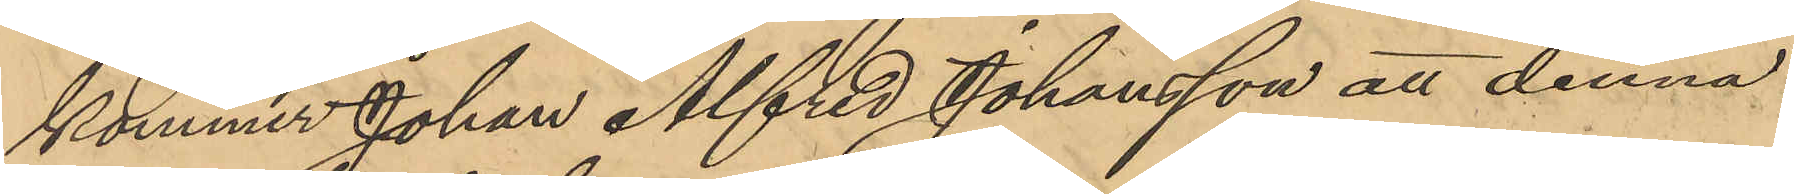kommer Johan Alfred Johansson att denna
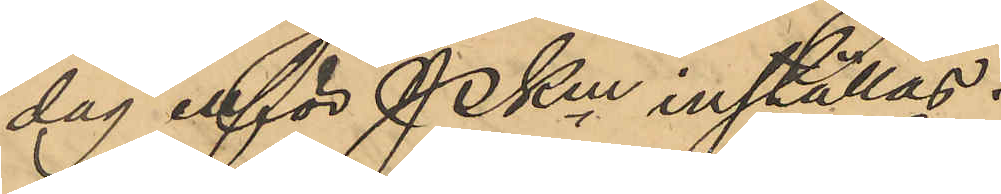dag inför PKen inställas.
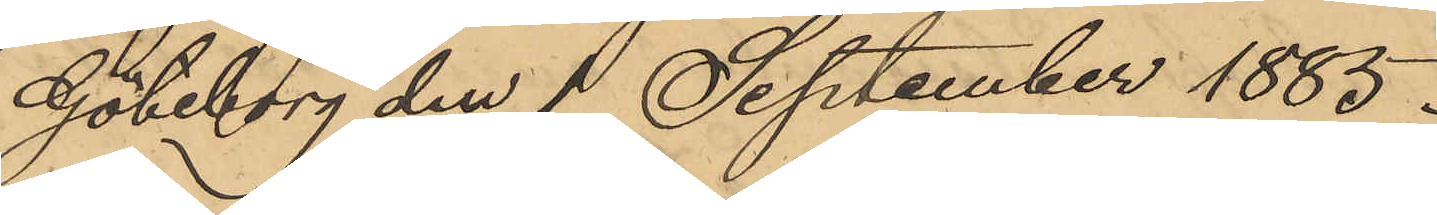Göteborg den 1 September 1885.
